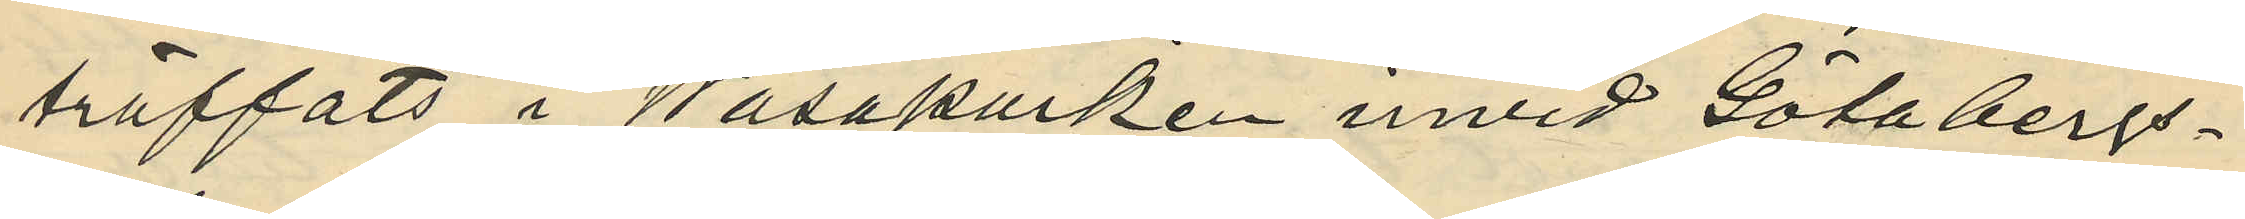träffats i Wasaparken invid Götabergs¬
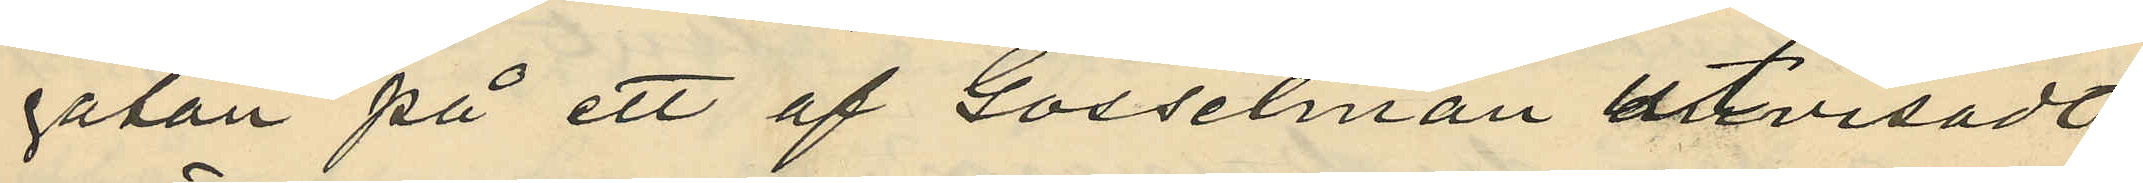gatan på ett af Gosselman utvisadt
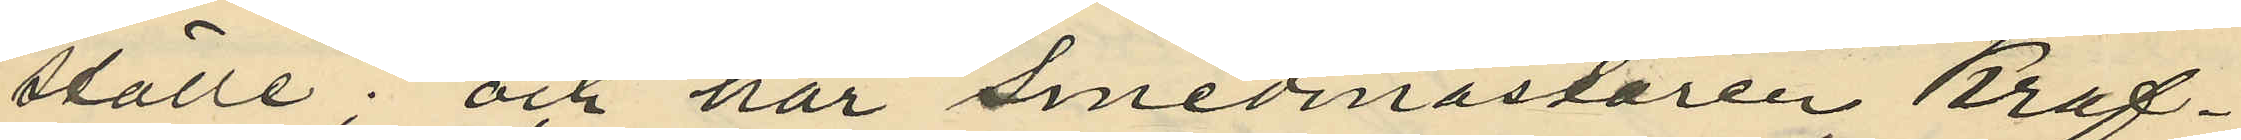ställe; och har smedmästaren Brag¬
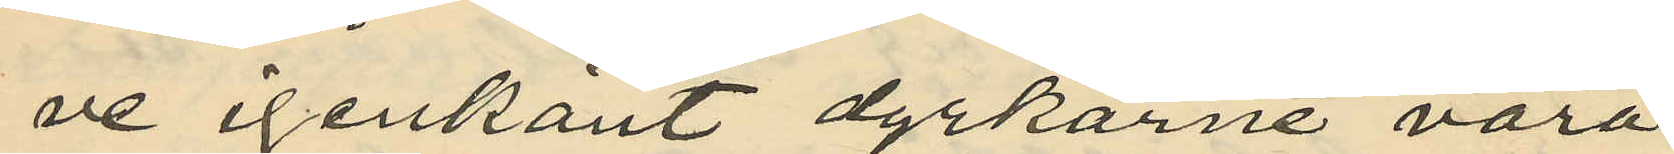ne igenkänt dyrkarne vara
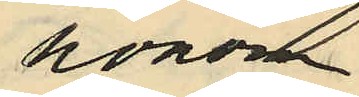honom
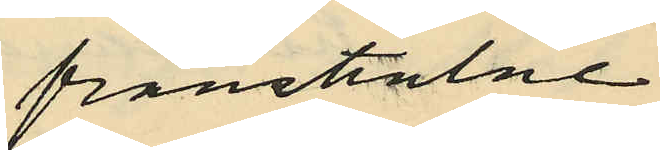frånstulne.
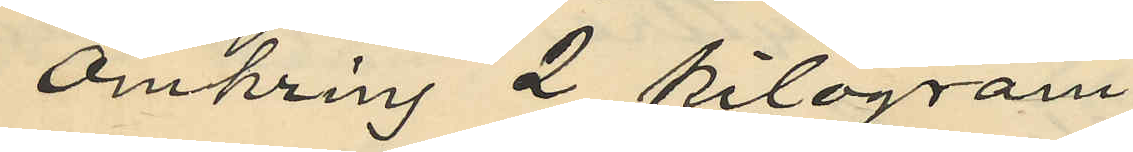omkring 2 kilogram
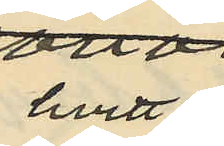hvit
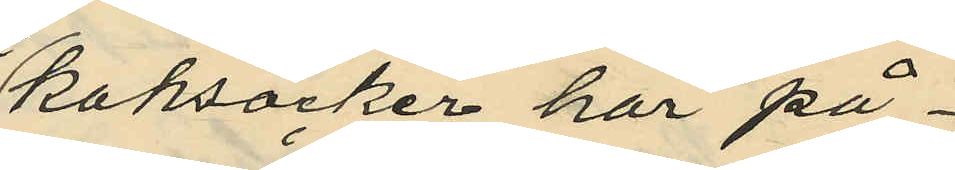kaksocker har på¬
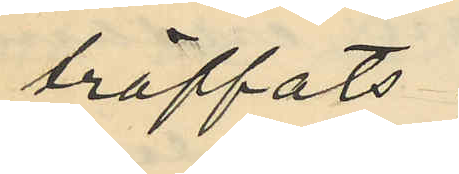träffats
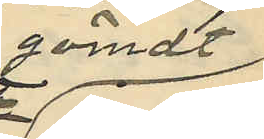gömdt
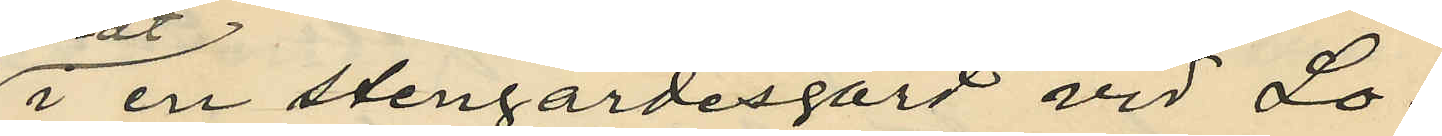i en stengärdesgård vid Lo¬
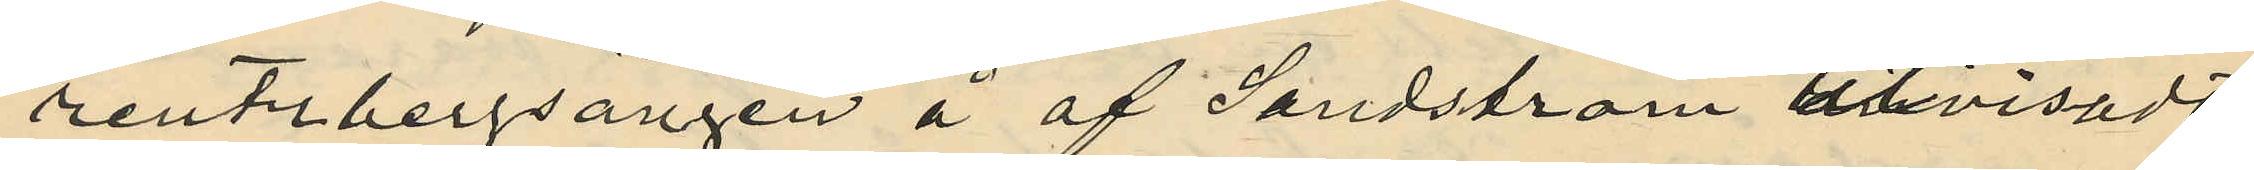rentsbergsängen å af Sandström utvisadt
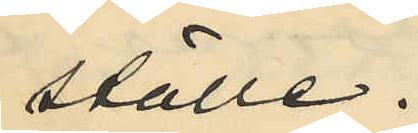ställe.
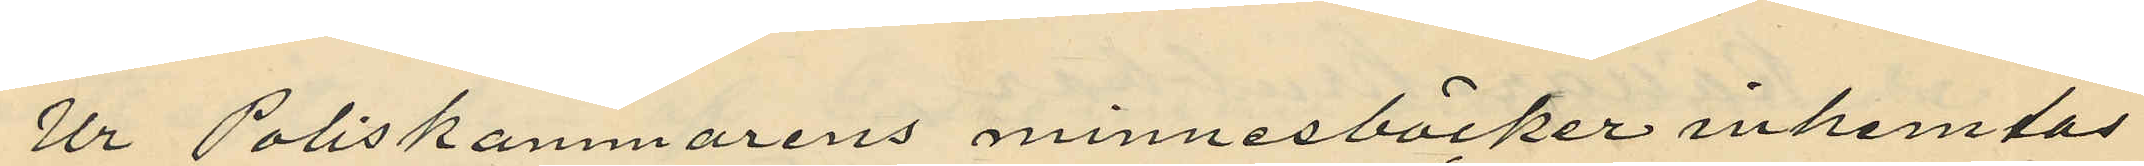Ur Poliskammarens minnesböcker inhemtas
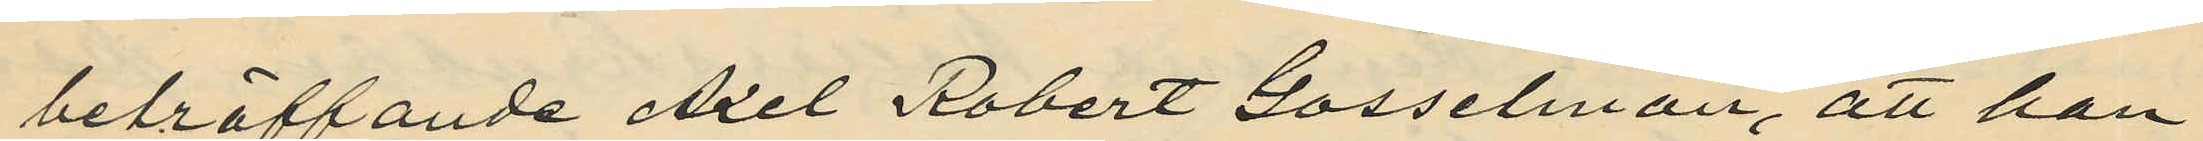beträffande Axel Robert Gosselman, att han
